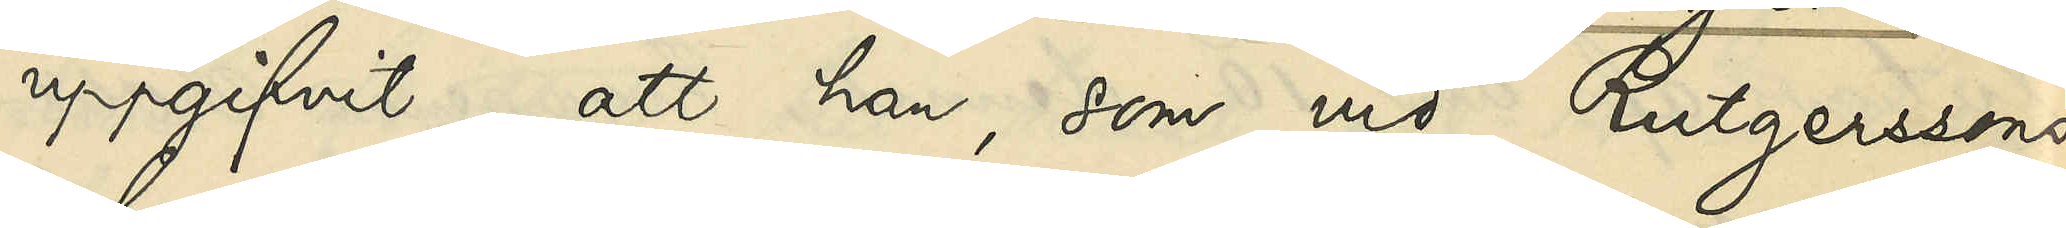uppgifvit, att han, som vid Rutgerssons
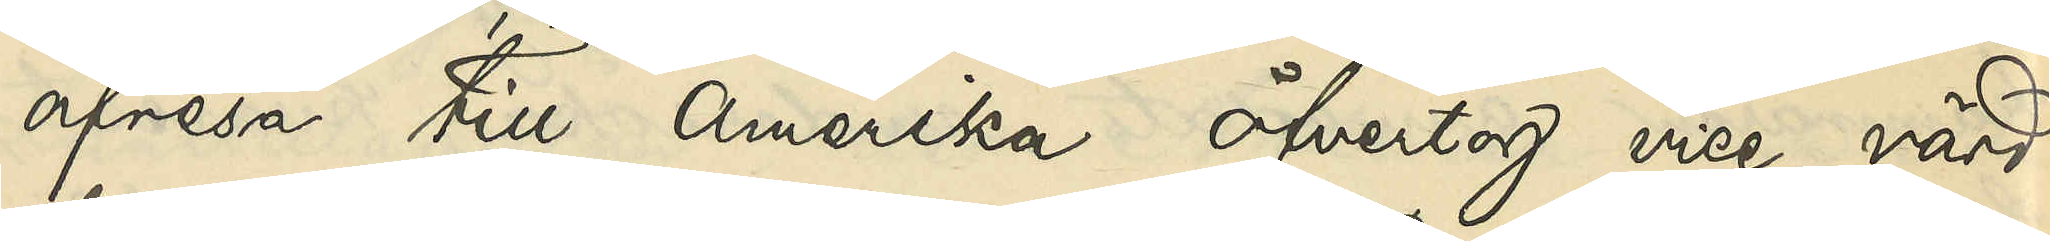afresa till Amerika öfvertog vice värd¬
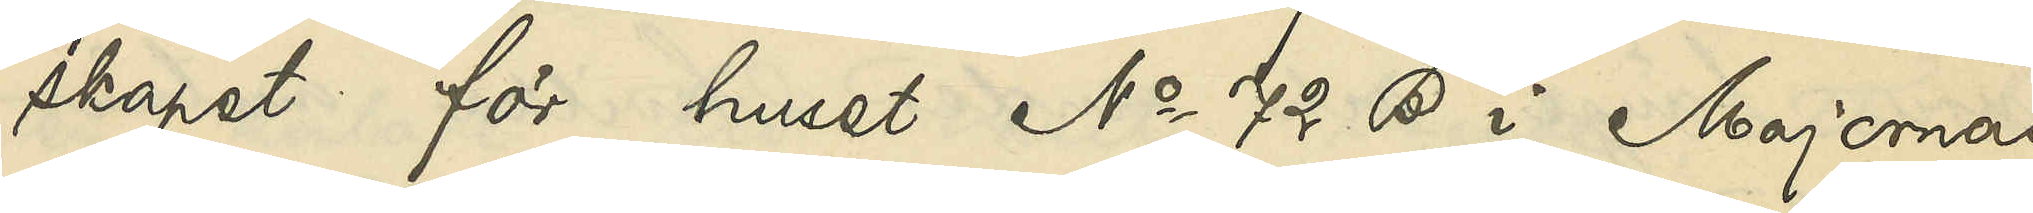skapet för huset No 72 B i Majornas
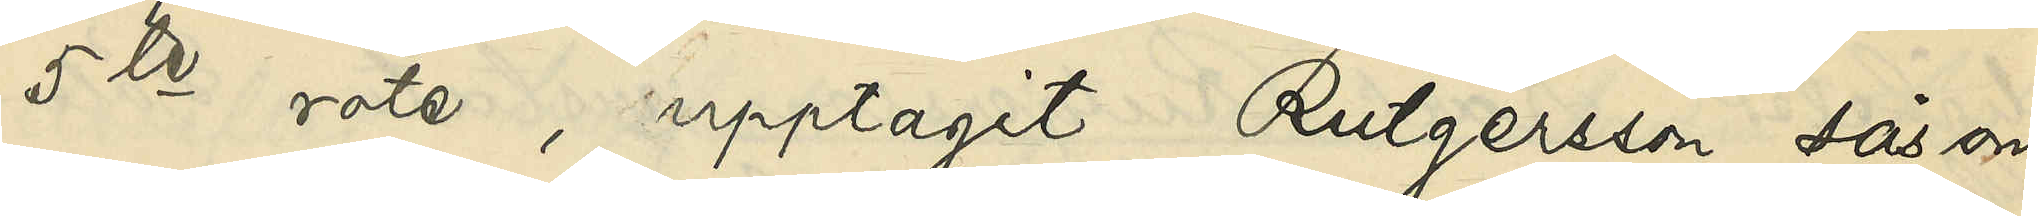5te rote, upptagit Rutgersson såsom
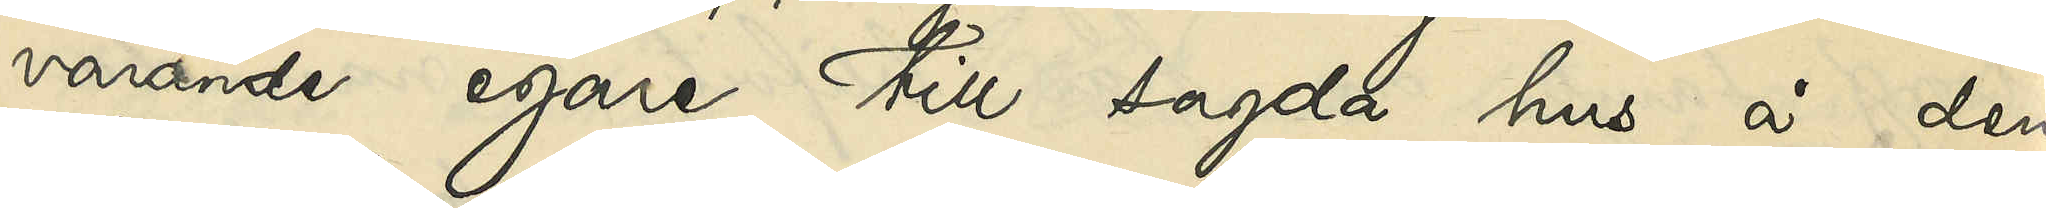varande egare till sagda hus å den
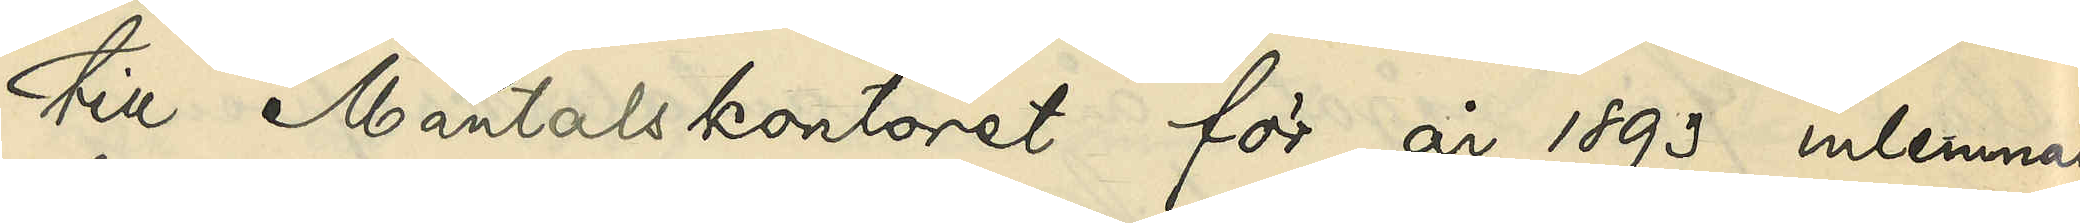till Mantalskontoret för år 1893 inlemnade
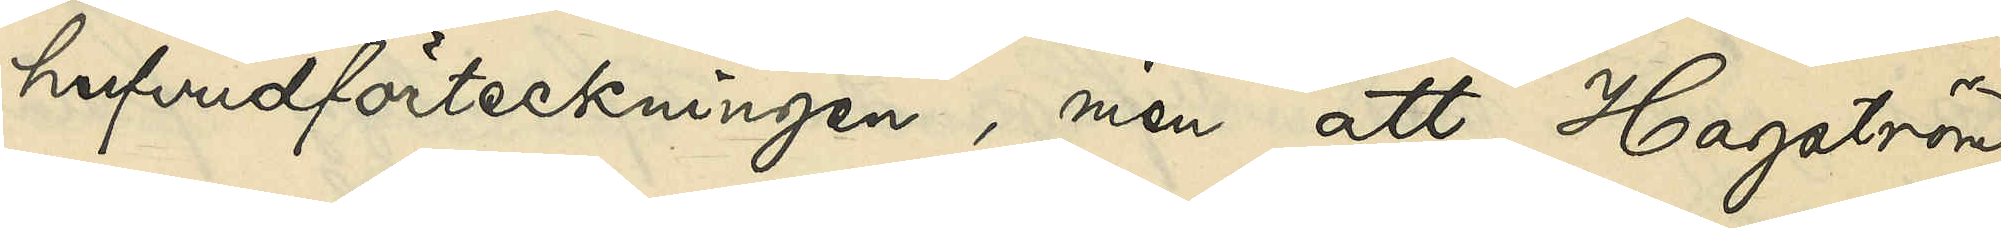hufvudförteckningen, men att Hagström
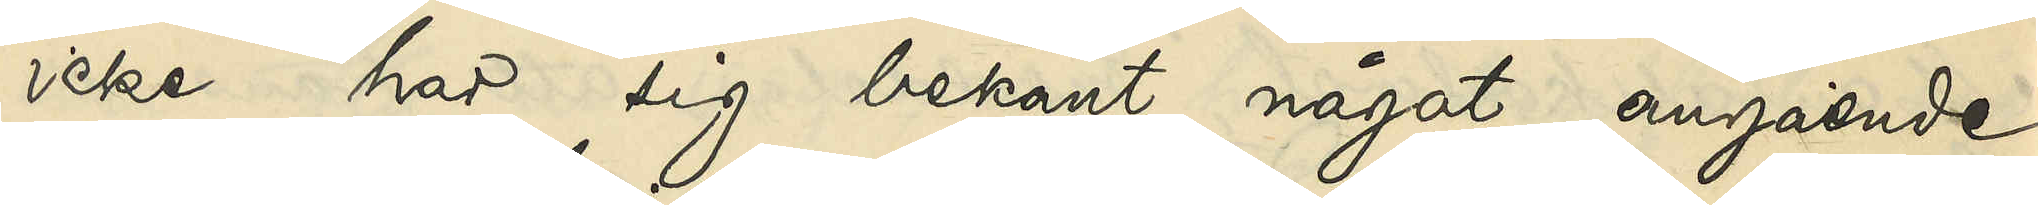icke har sig bekant något angående
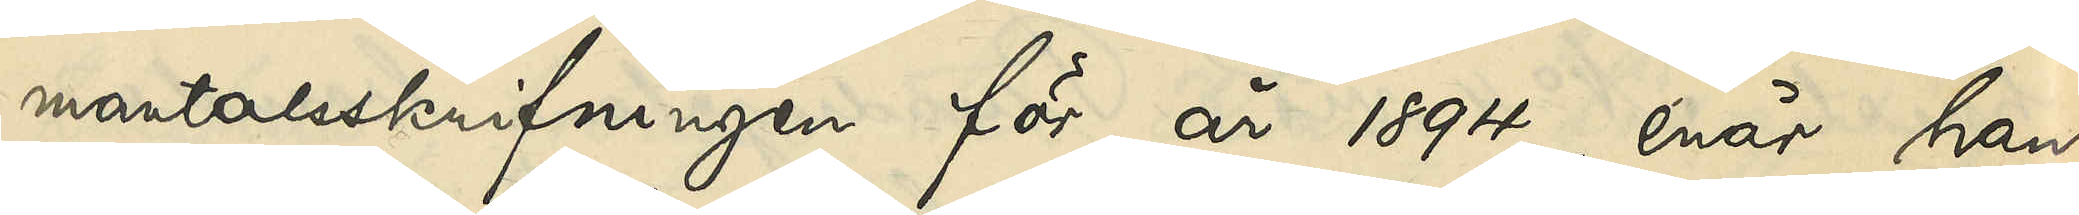mantalsskrifningen för år 1894, enär han
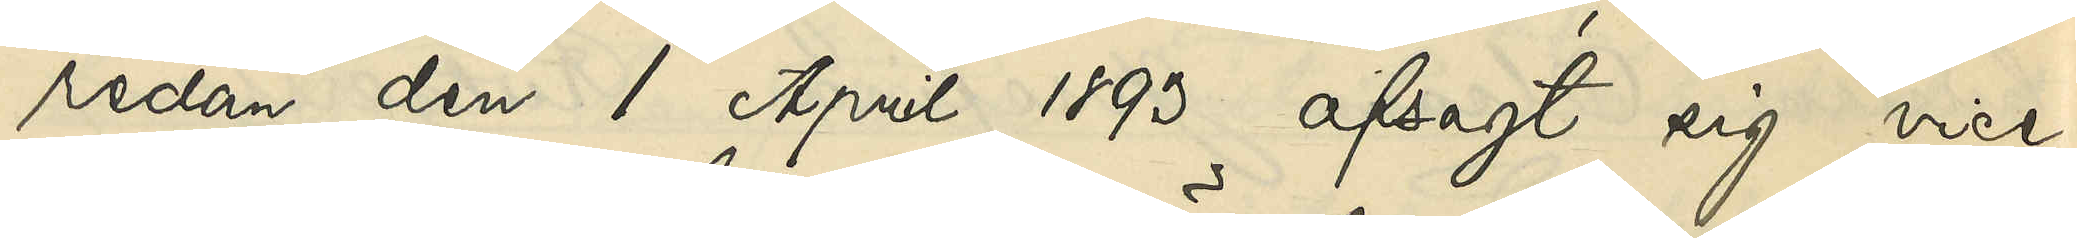redan den 1 April 1893 afsagt sig vice
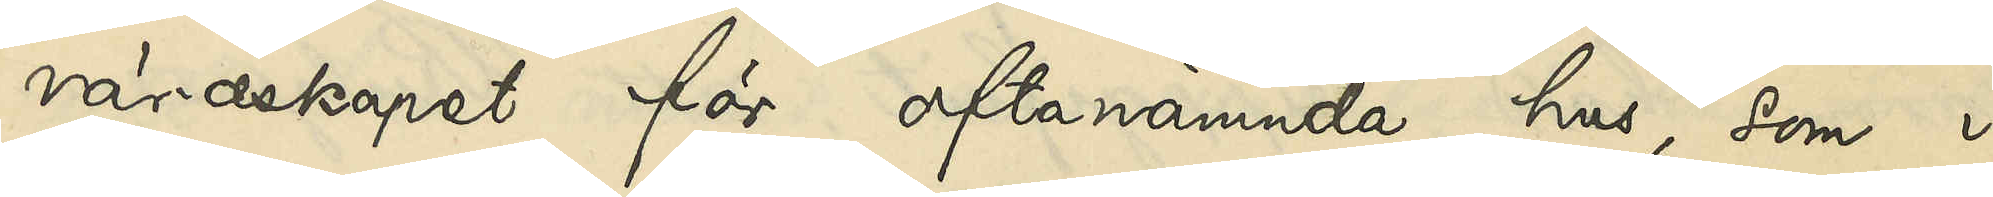värdskapet för oftanämnde hus, som i
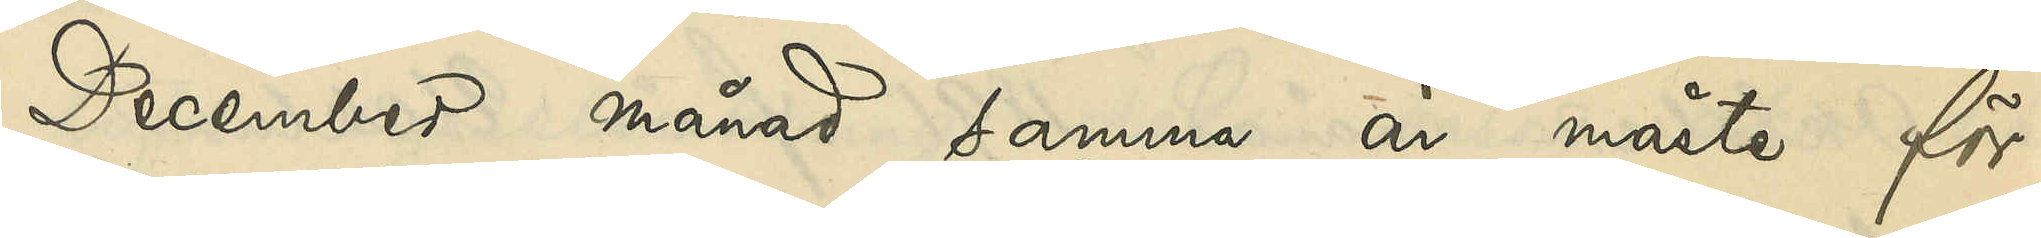December månad samma år måste för
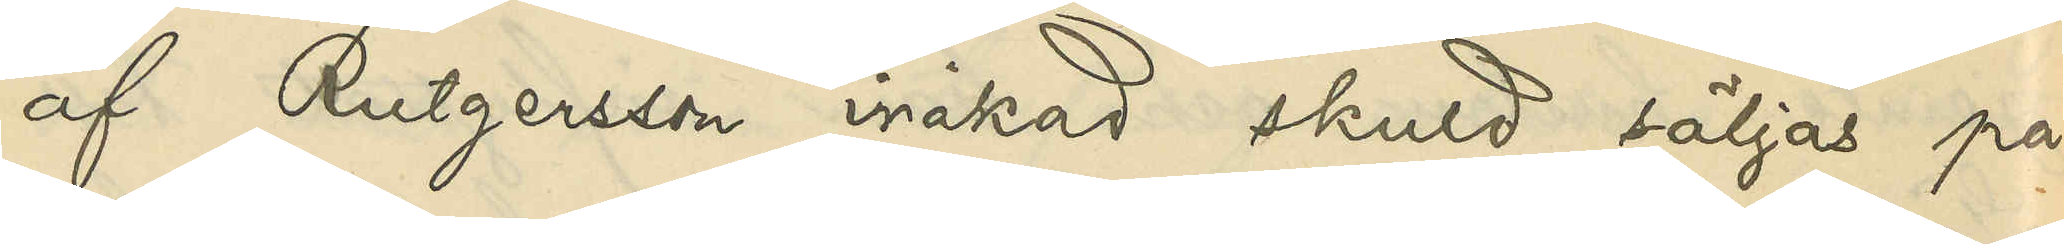af Rutgersson iråkad skuld säljas på
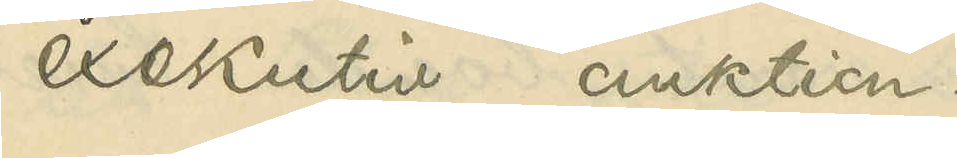exekutiv auktion.
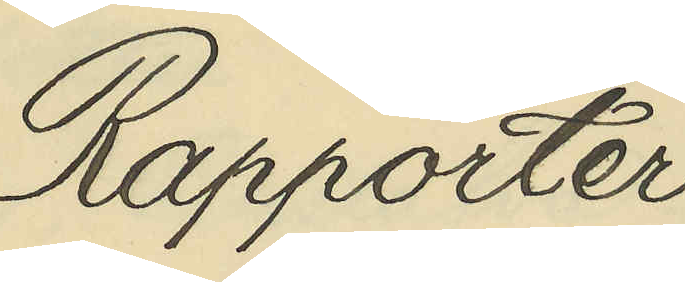Rapporter
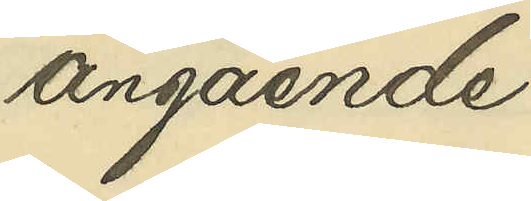angående
